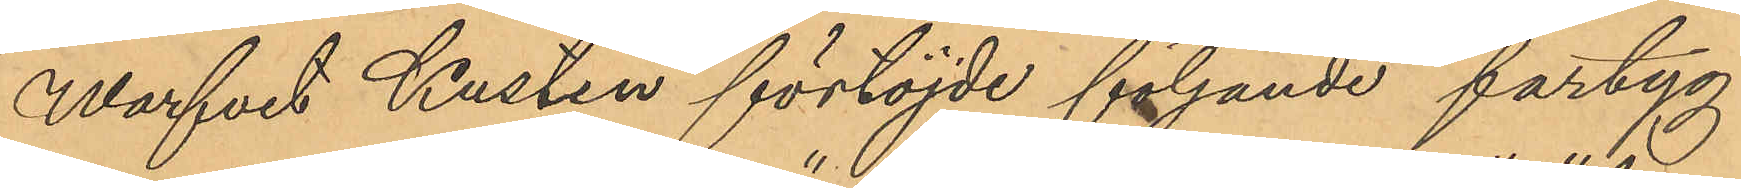Warfvet Kusten förtöjde följande fartyg
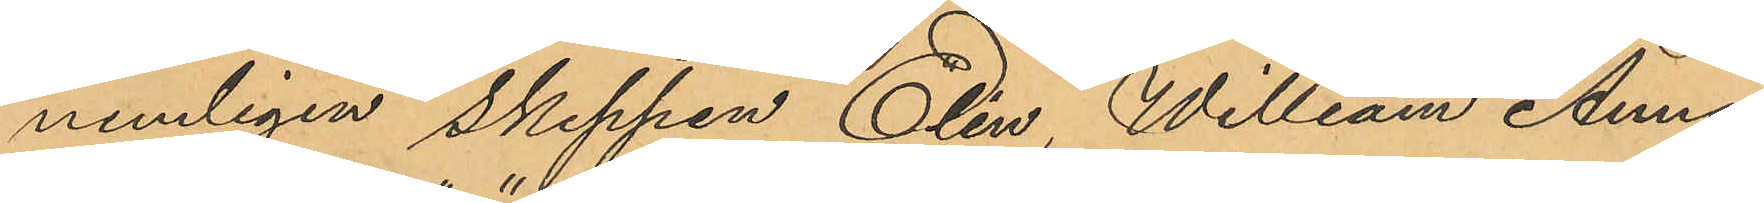nemligen skeppen" Elin", "William" "Anna",
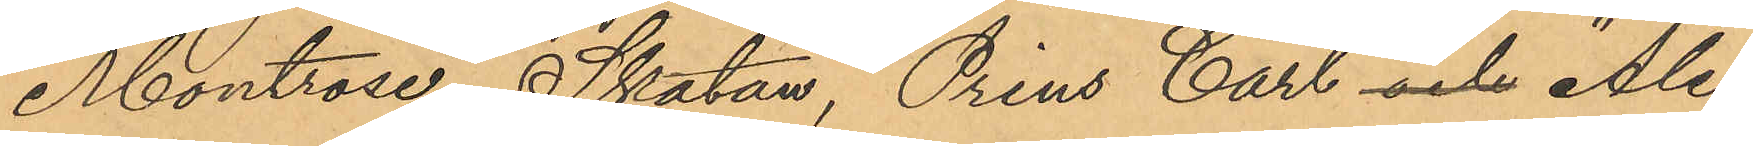"Montrose", "Skatan", "Prins Carl" och "Ale¬
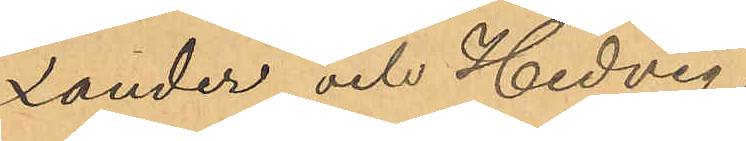xander" och Hedvig,
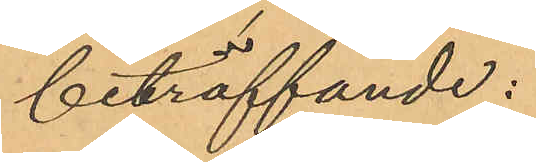beträffande:
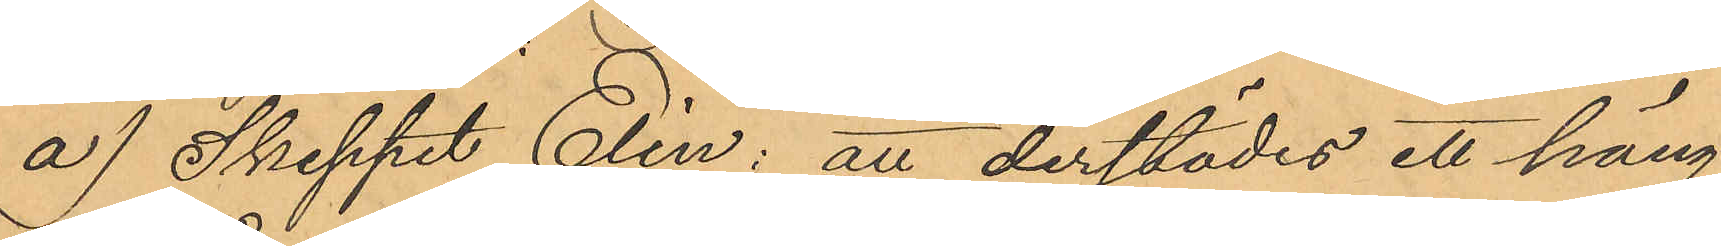a) Skeppet Elin: att derstädes ett häng¬
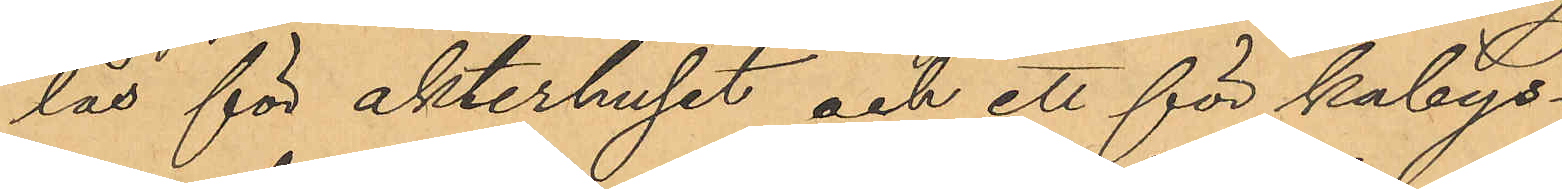lås för akterhuset och ett för kabys¬
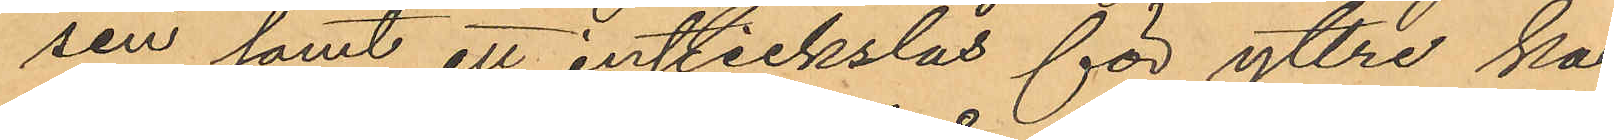sen samt ett instickslås för yttre ka¬
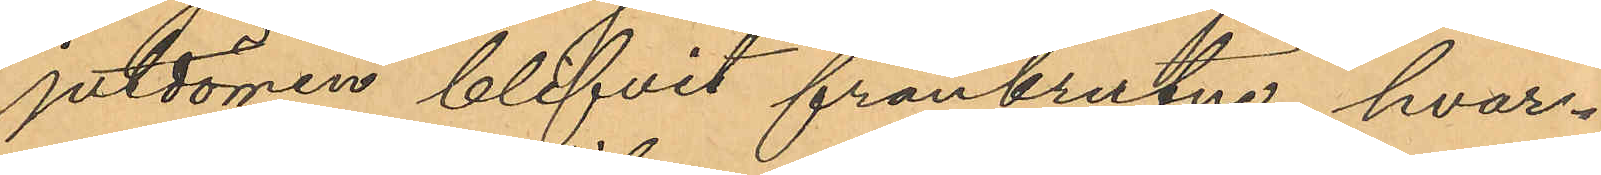jutdörren blifvit frånbrutne, hvar¬
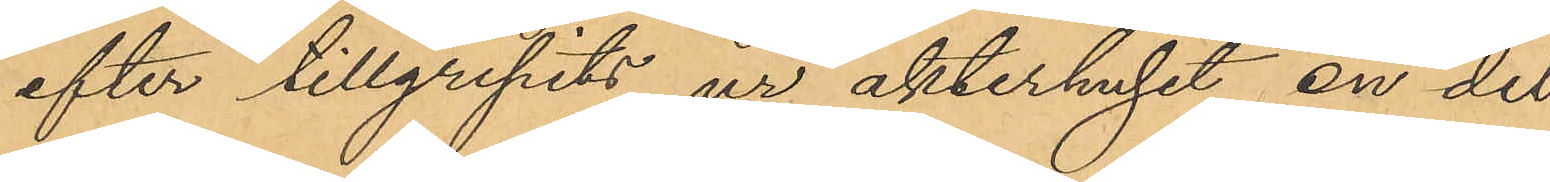efter tillgripits ur akterhuset, en del
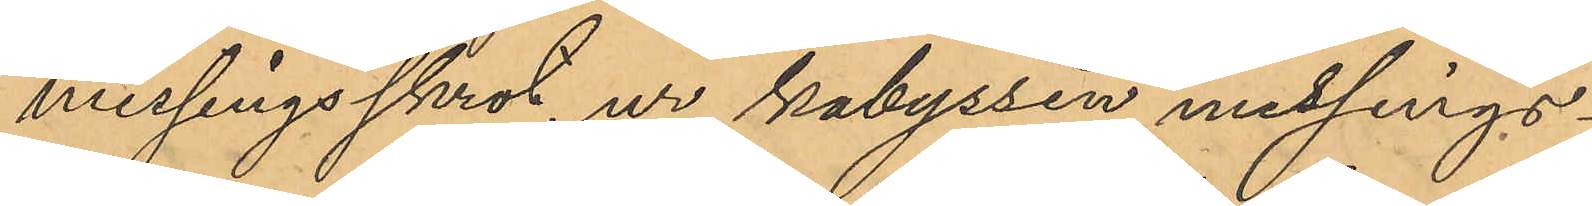messingsskrot, ur kabyssen messings¬
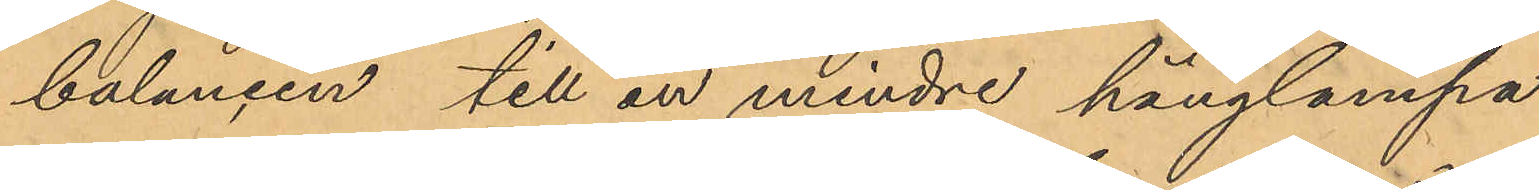balancen till en mindre hänglampa
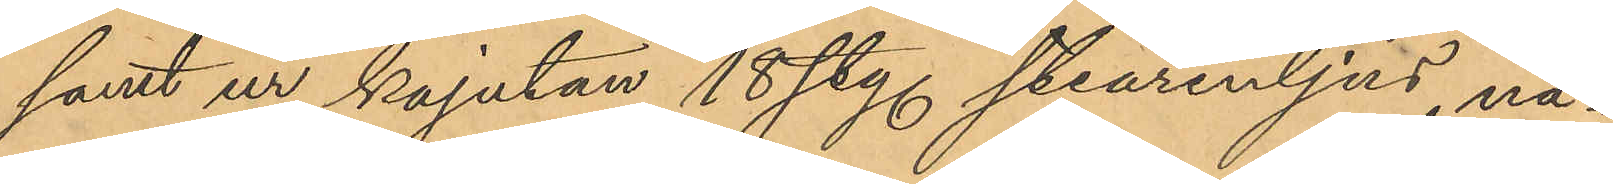samt ur kajatan 18 sty. stearenljus, nå¬
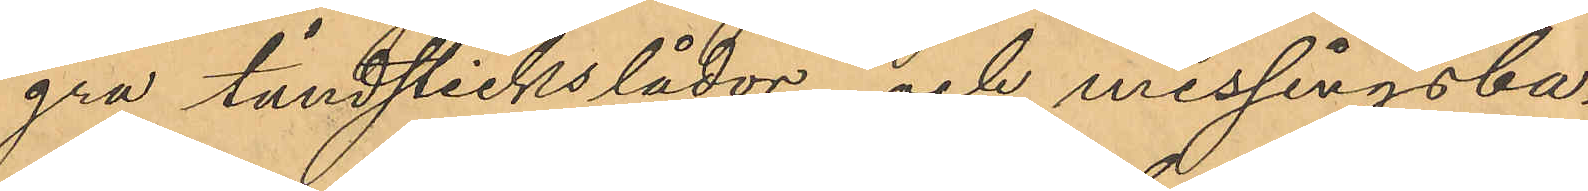gra tändstickslådor och messingsba¬
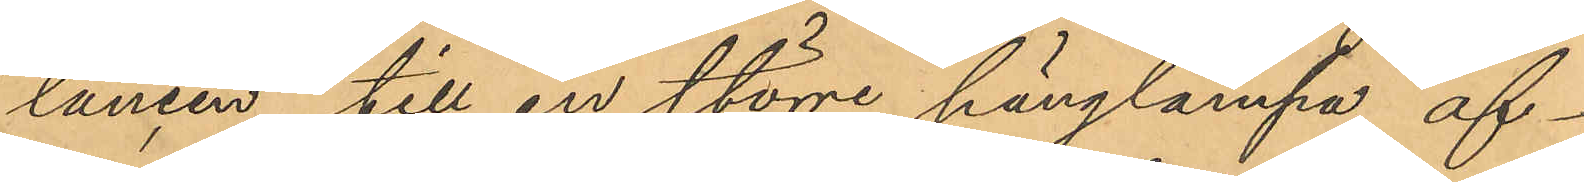lancen till en större hänglampa äf¬
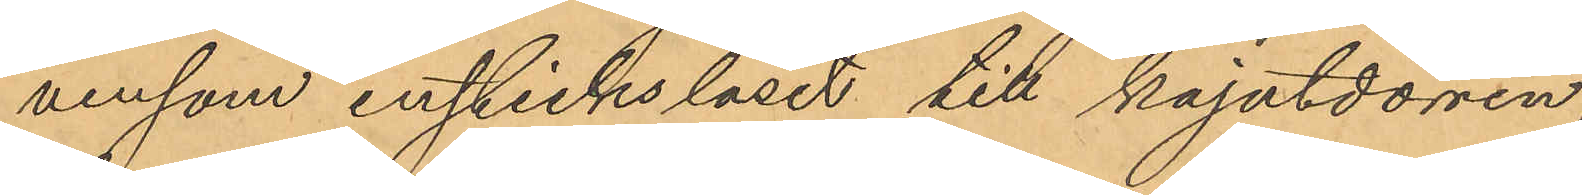vensom instickslåset till kajutdörren,
